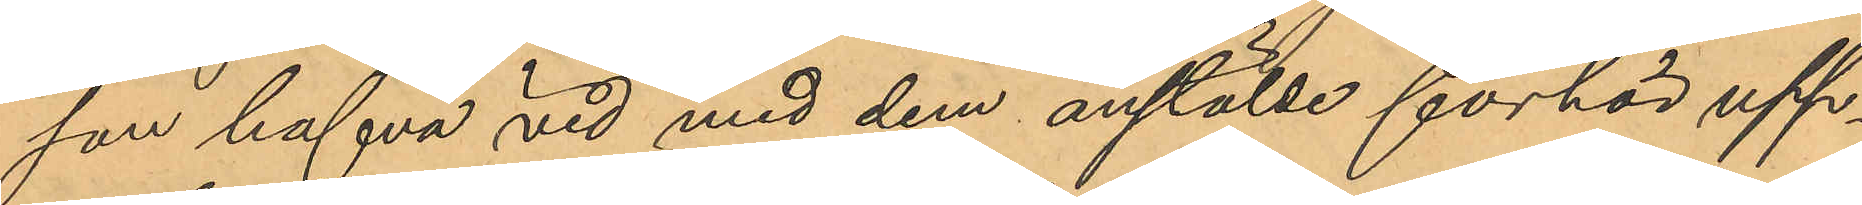son hafva vid med dem anstälde förhör upp¬
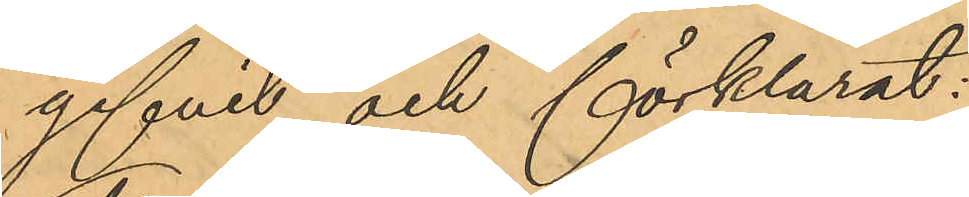gifvit och förklarat:
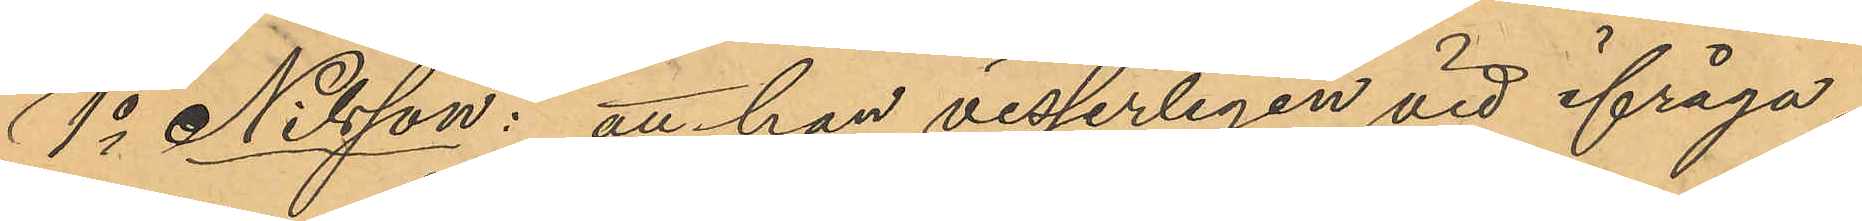1o Nilsson: att han visserligen vid ifråga¬
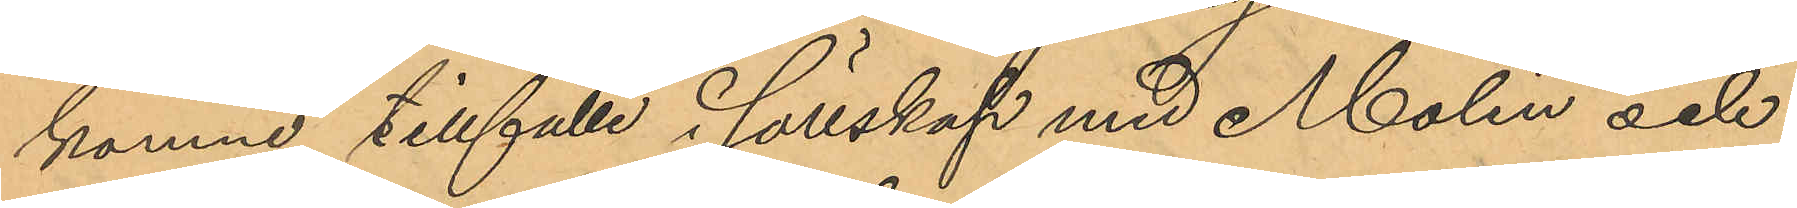komne tillfälle i sällskap med Molin och
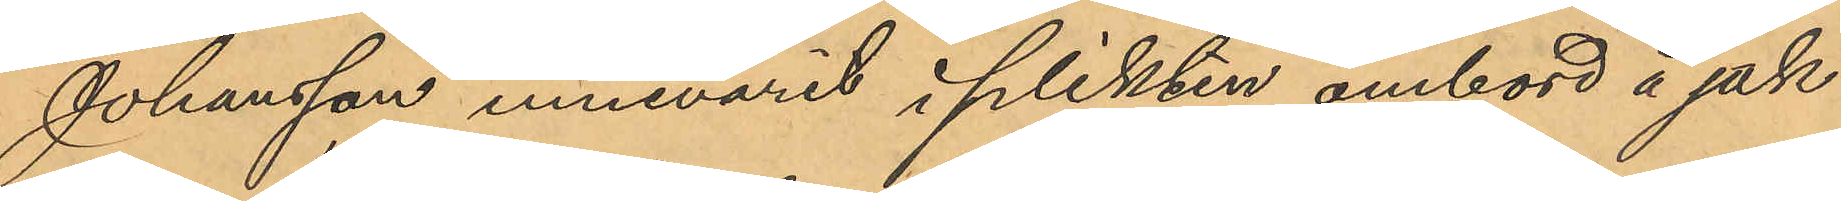Johansson innevarit i plikten ombord å jak¬
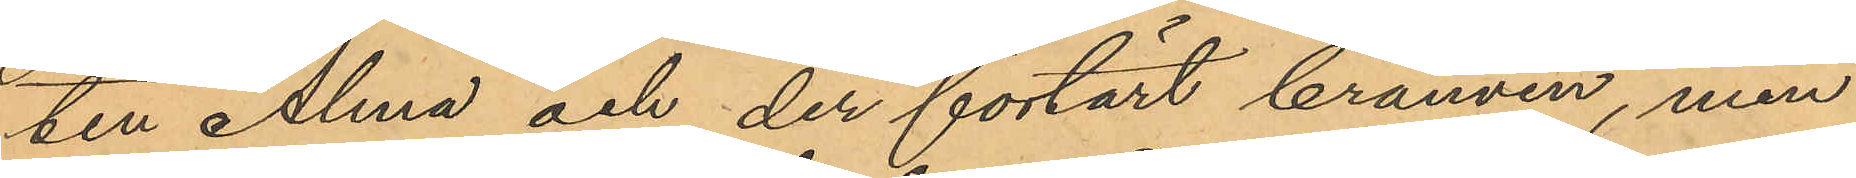ten Alma och der förtärt brännvin, men
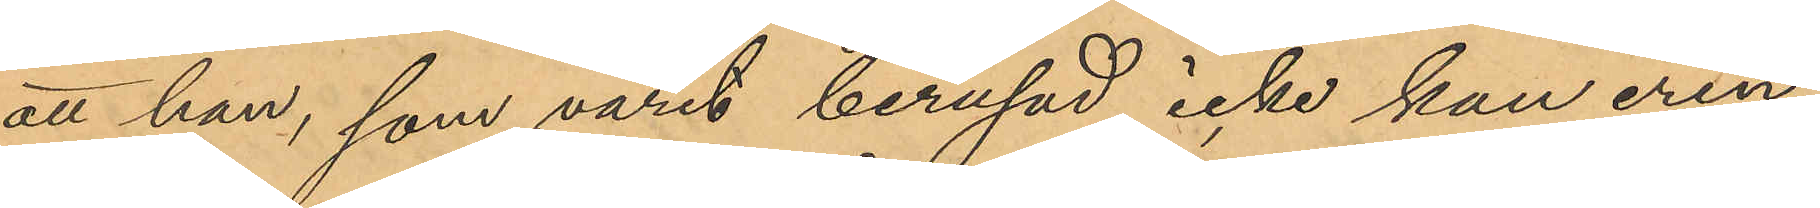att han, som varit berusad, icke kan erin¬
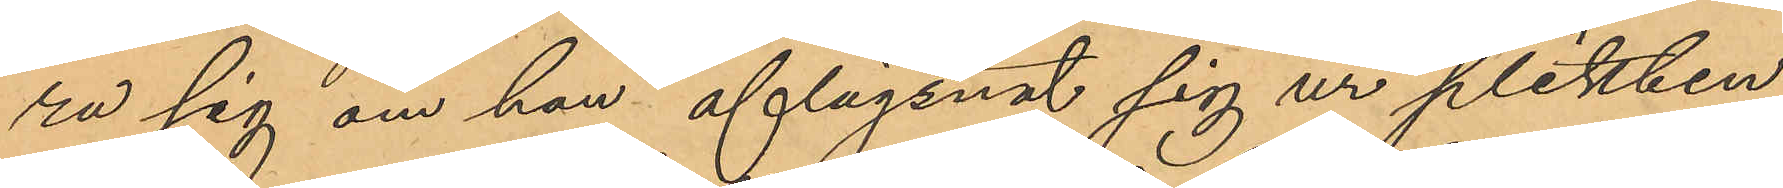ra sig om han aflägsnat sig ur plikten
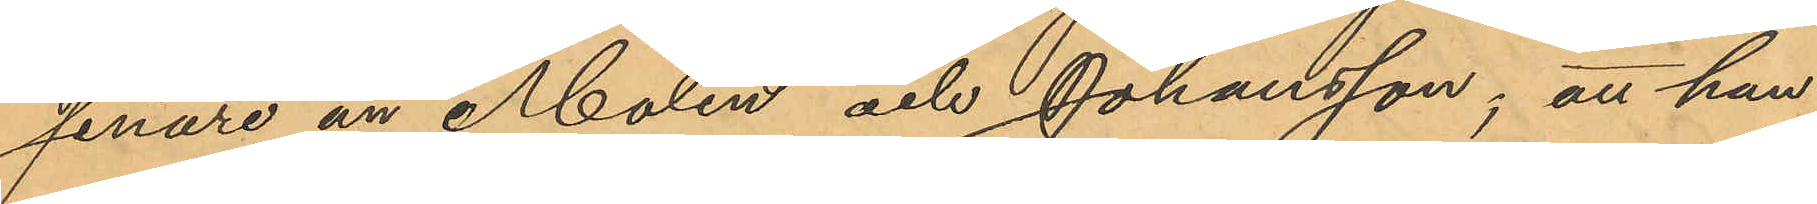senare än Molin och Johansson; att han
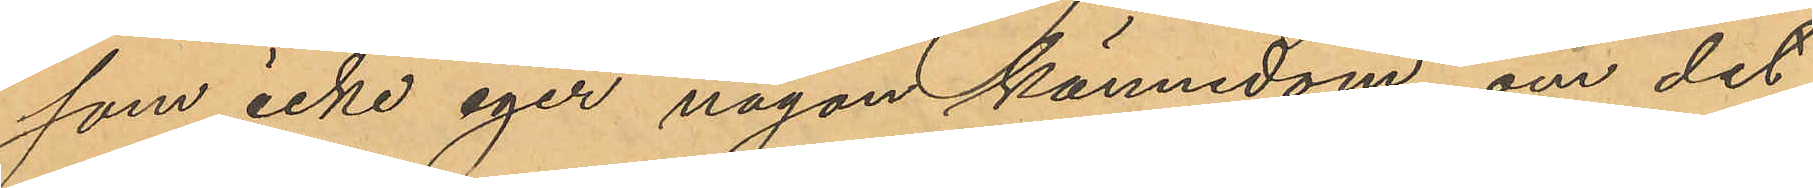som icke eger någon kännedom om det
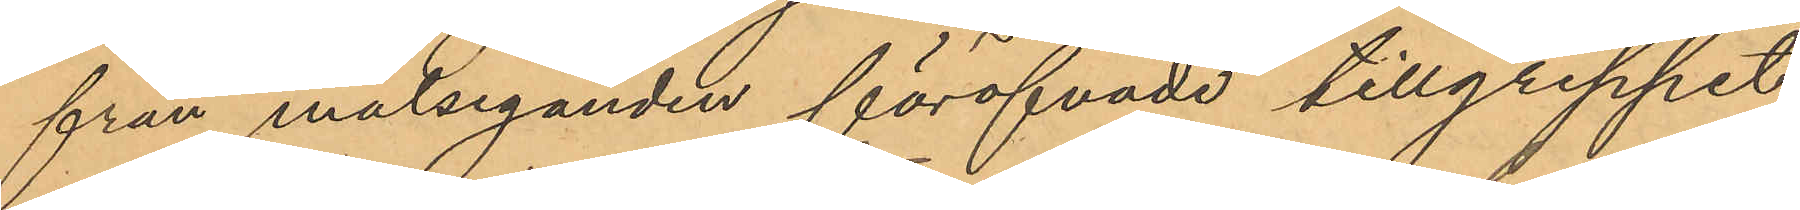från målseganden föröfvade tillgreppet
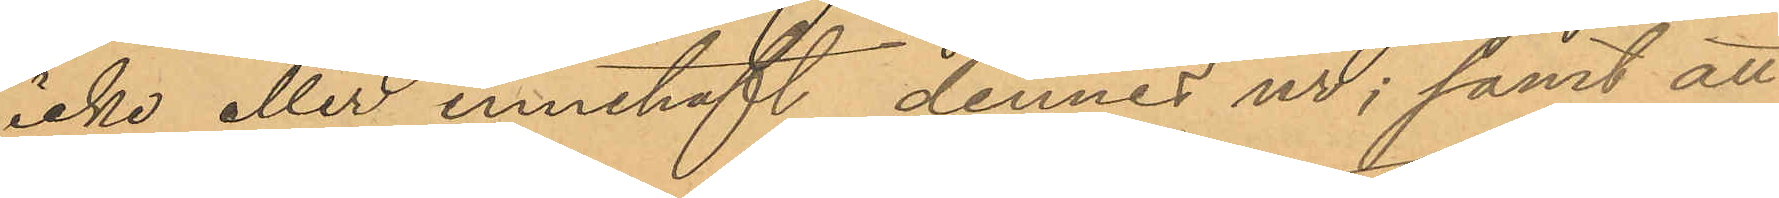icke eller innehaft dennes ur; samt att
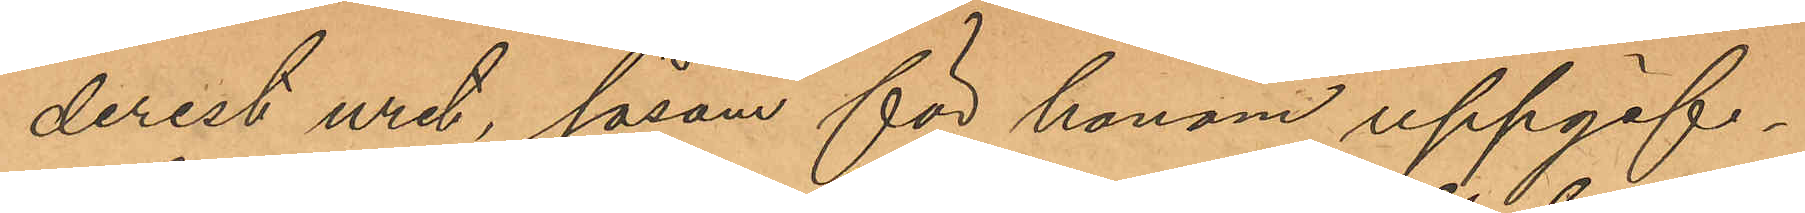derest uret, såsom för honom uppgif¬
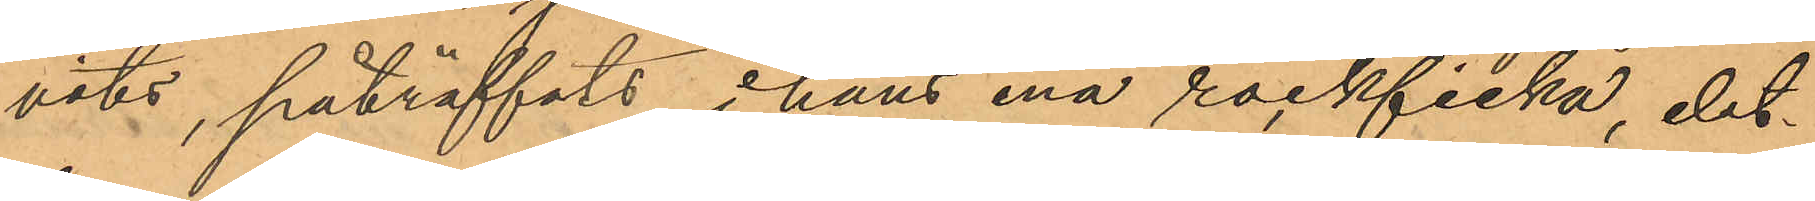vits, påträffats i hans ena rockficka det¬
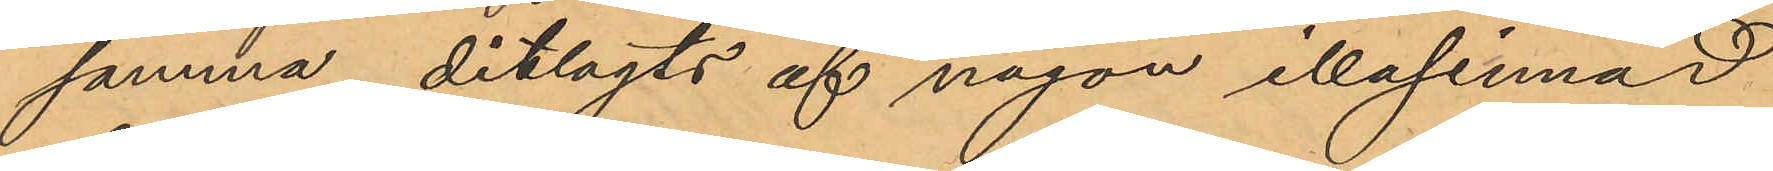samma ditlagts af någon illasinnad
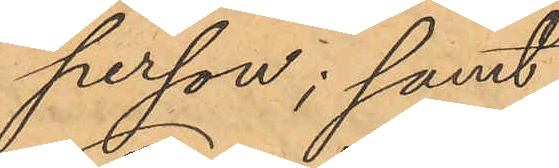person; samt
